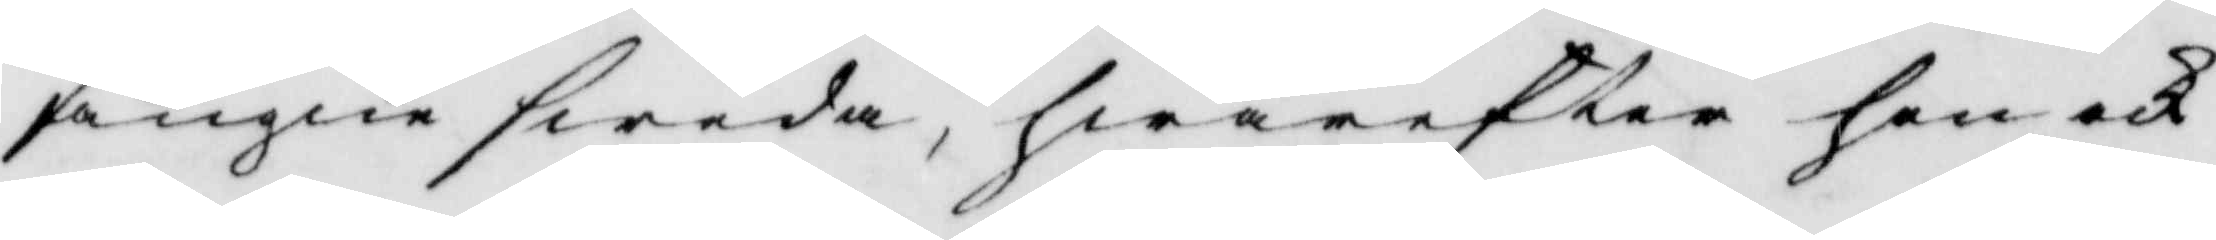fångne sweda, hwarefter hon ock
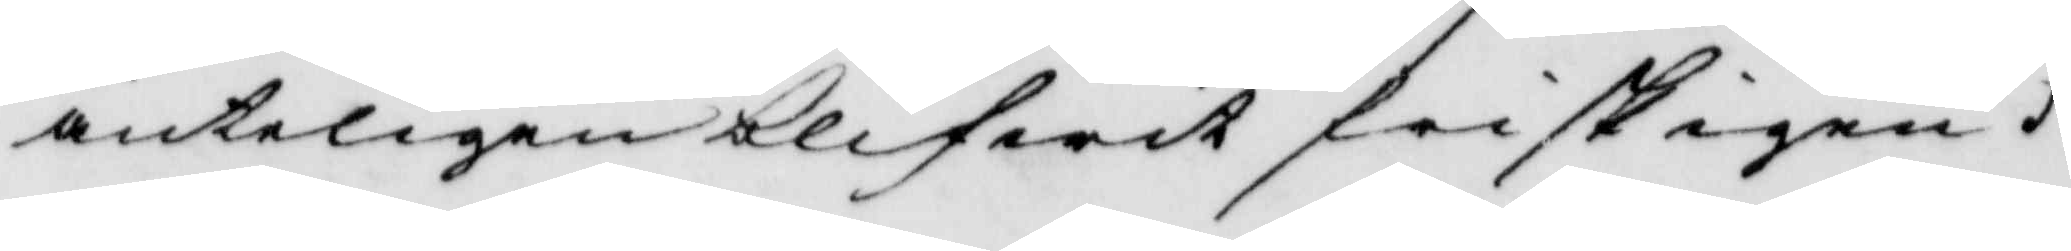änteligen blifwit frisk igen.
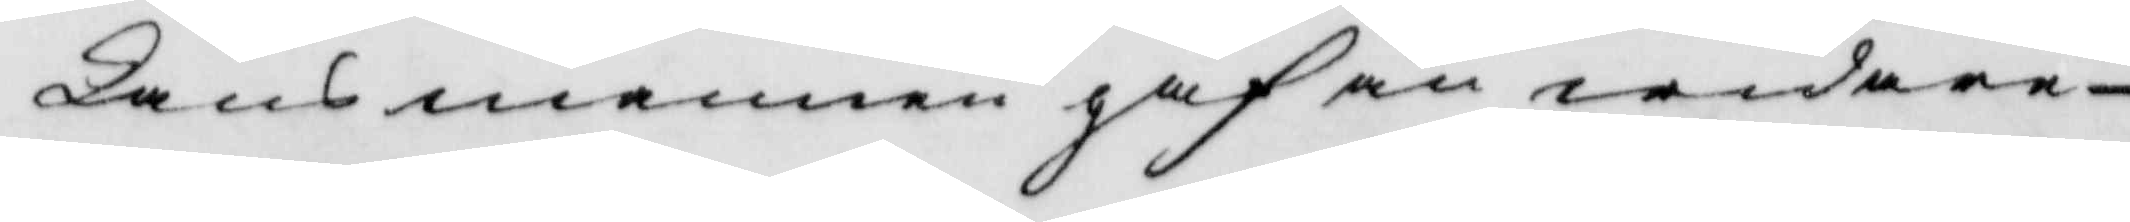Länsmannen gaf än widare
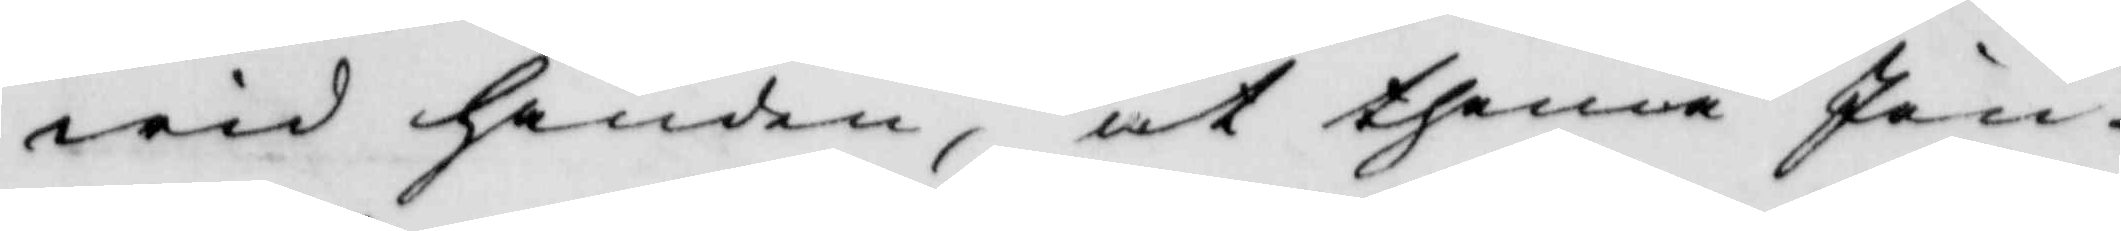wid handen, at thenna Jon
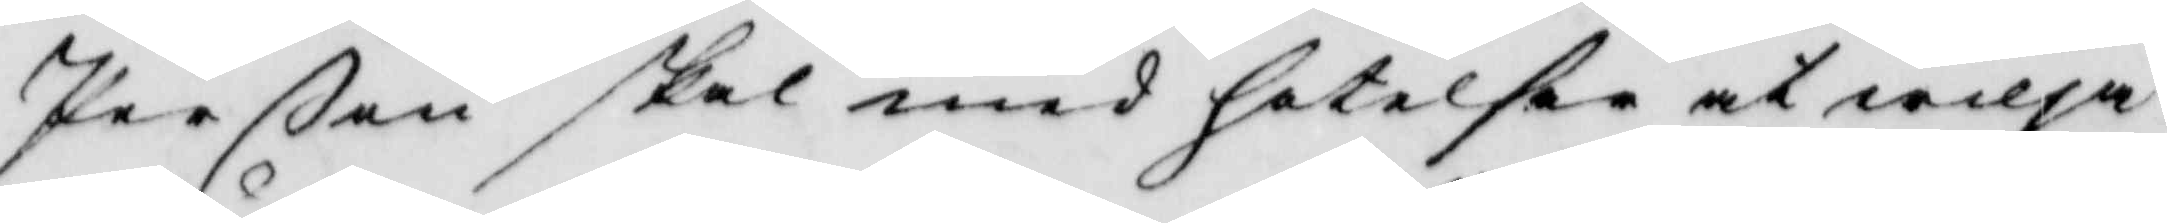Perßon skal med hotelser at wilja
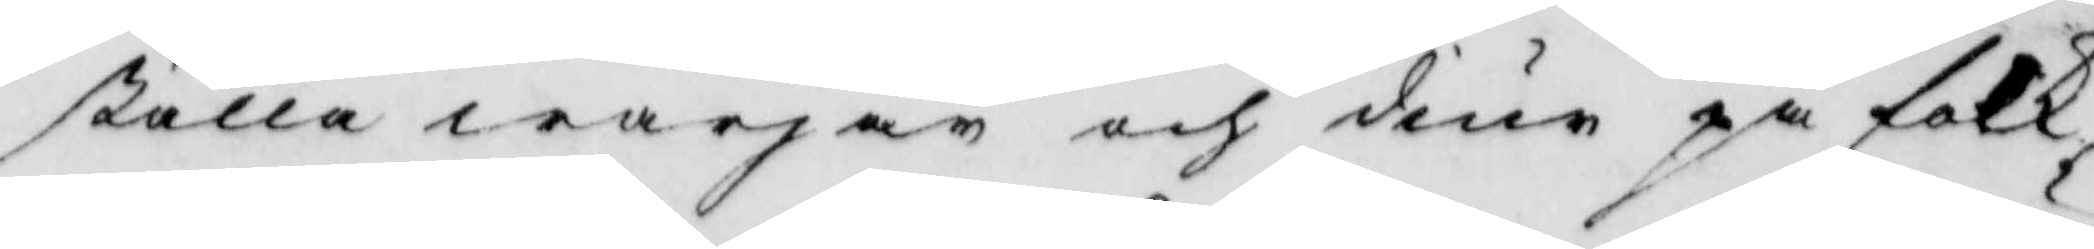ställa warjar och diur på folk
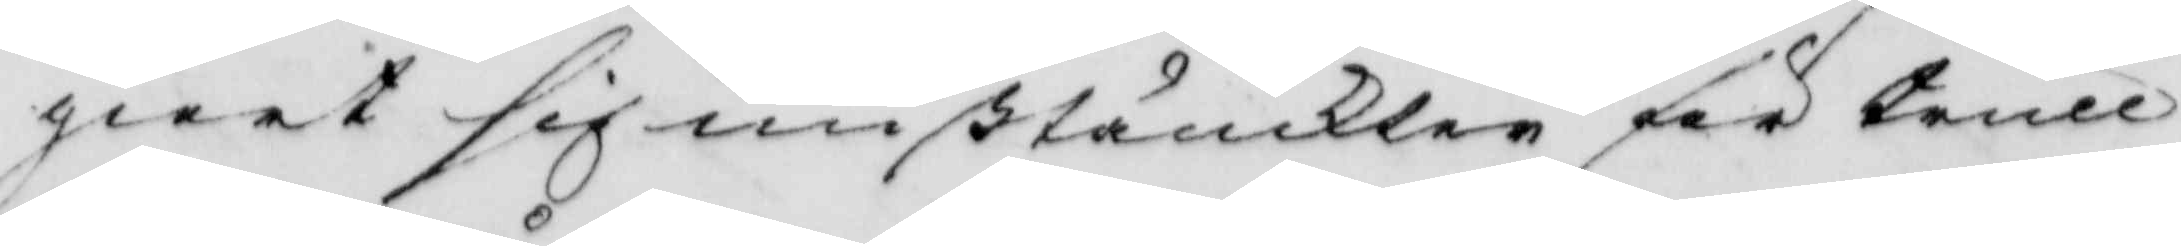giort sig mißtänckter för trull¬
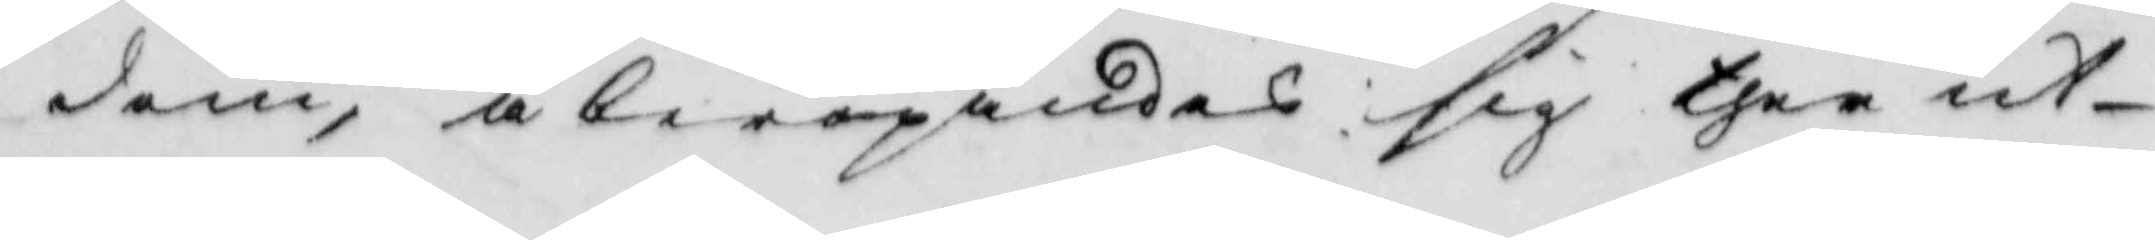dom, åberopandes sig ther ut¬
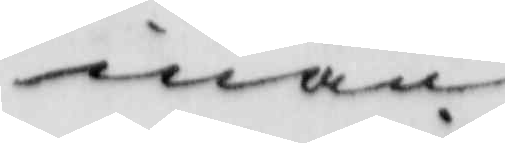inan
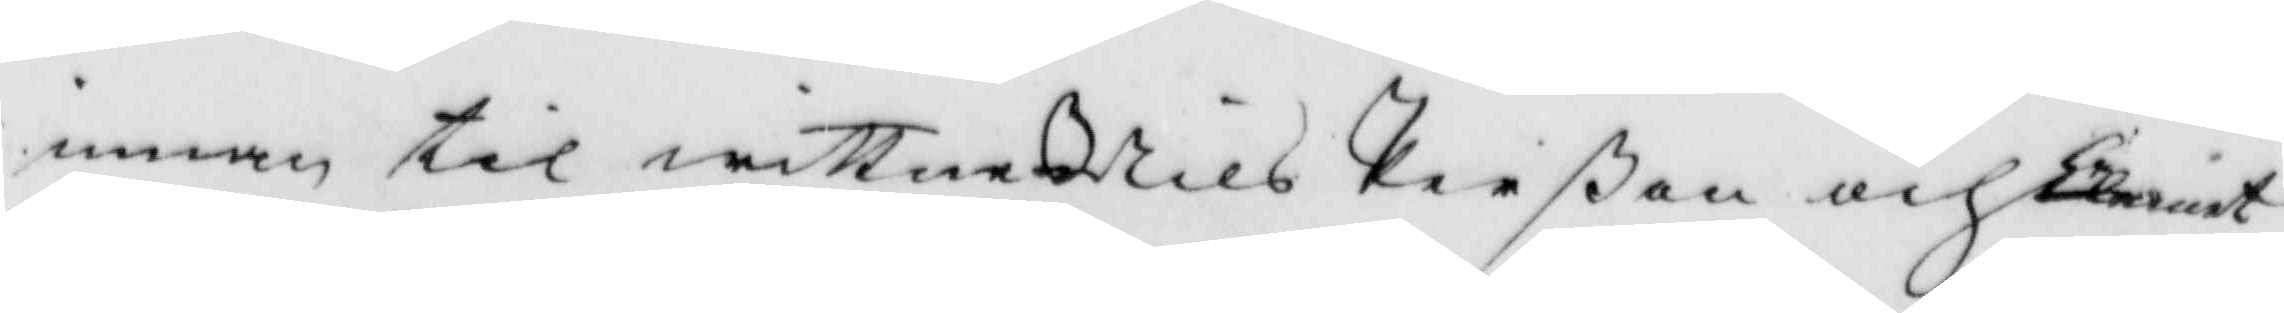innan til wittne Nils Perßon och Clement
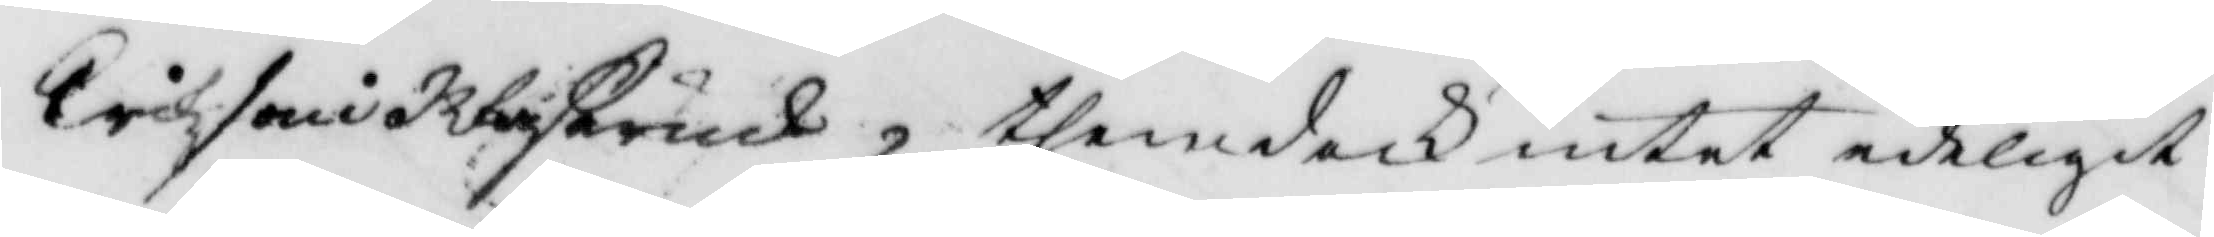Erikson i ßerud, then dock intet edeligit
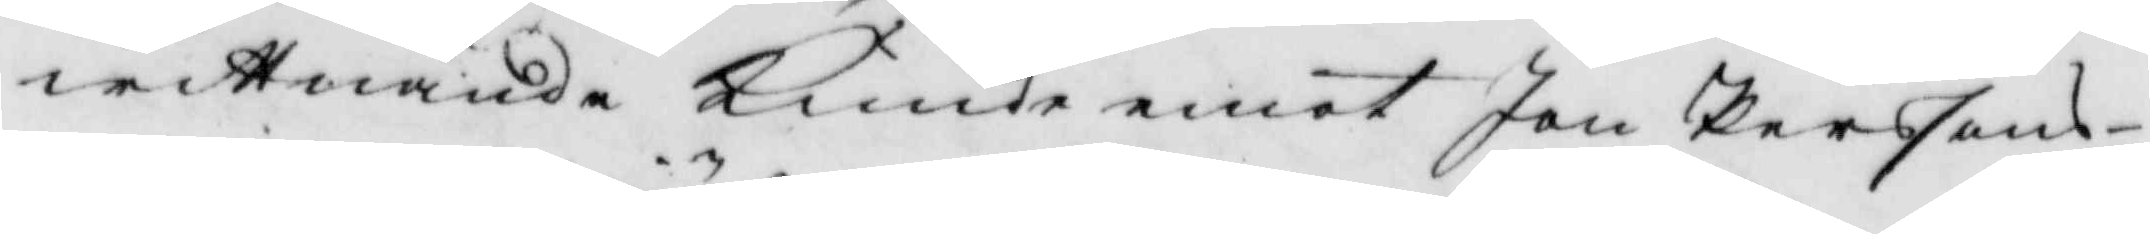wittnande kunde emot Jon Persson
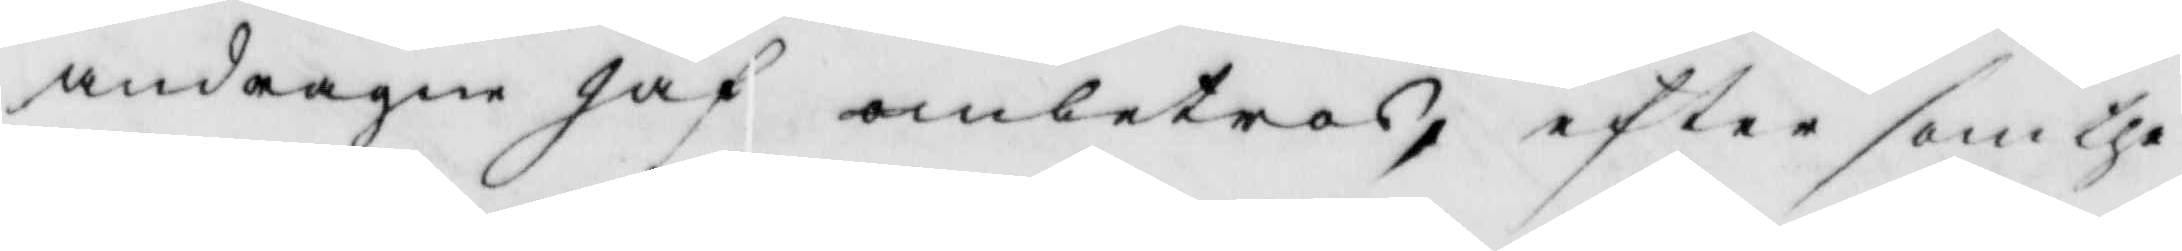andragne Jäf ombetros, efter som the
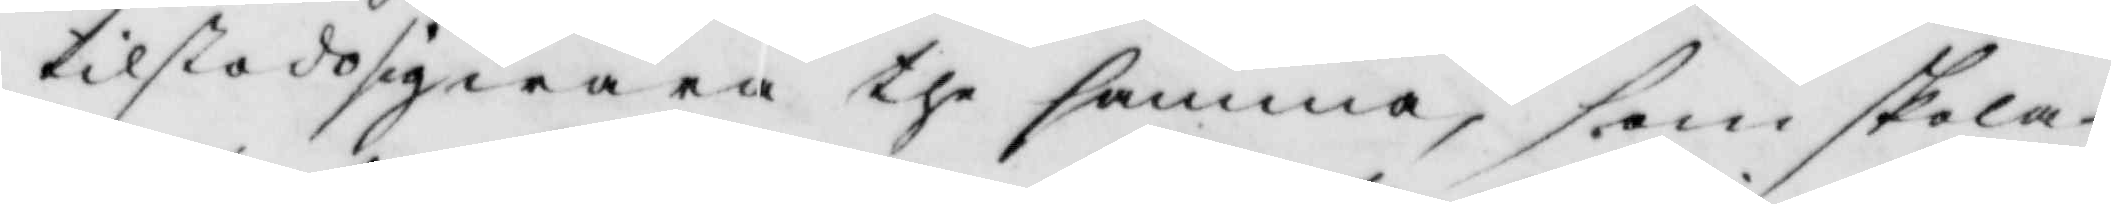tilstodo sig wara the samma, som skola
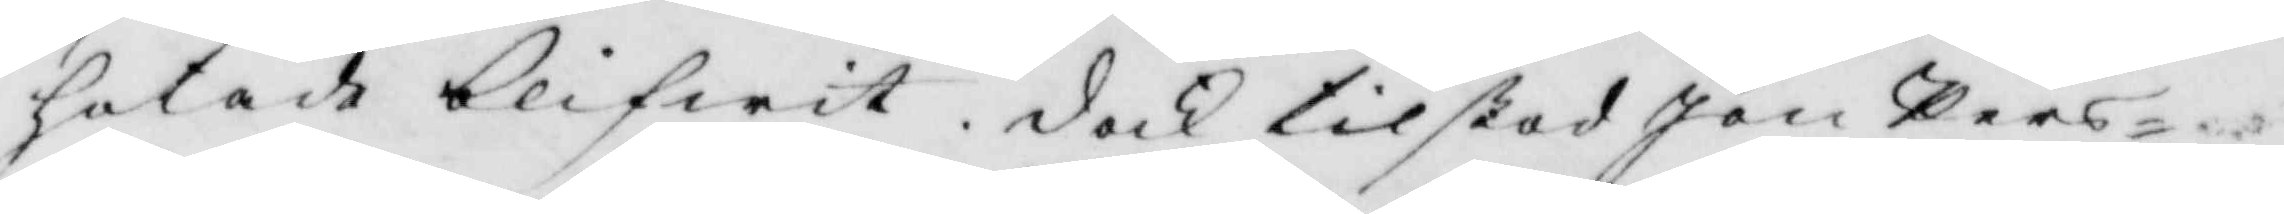hotade blifwit dock tilstod Jon Pers¬
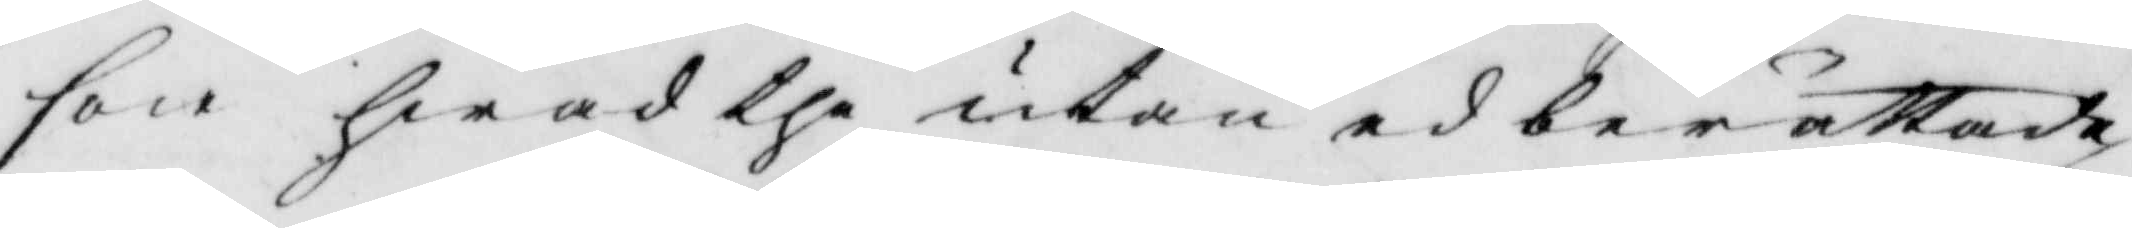son hwad the utan ed berättade
